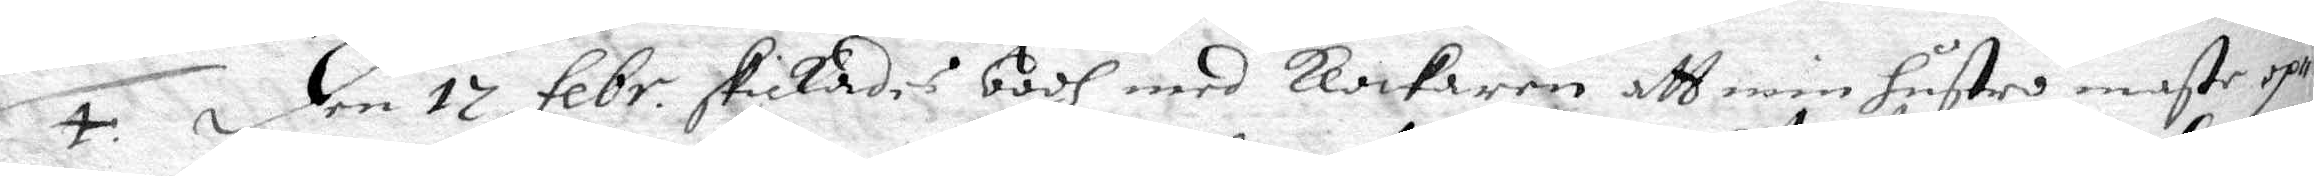4. Den 17 febr. skickades bodh med klockaren att min hustru moste op¬
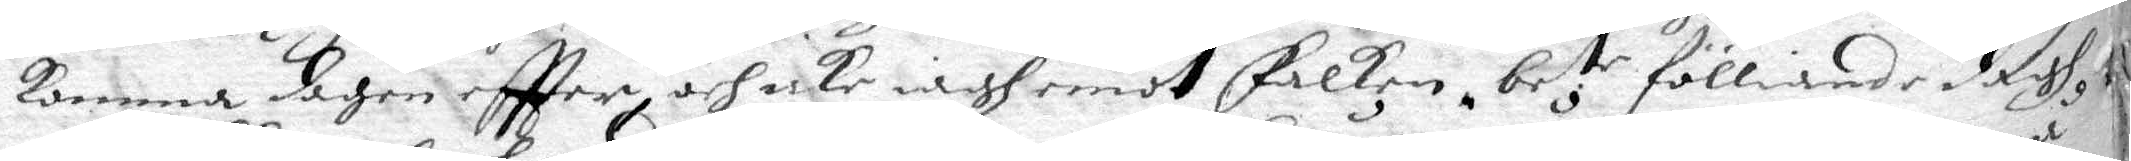komma dagen eftter och icke iagh emot Falken, be.tr fölliande dagh
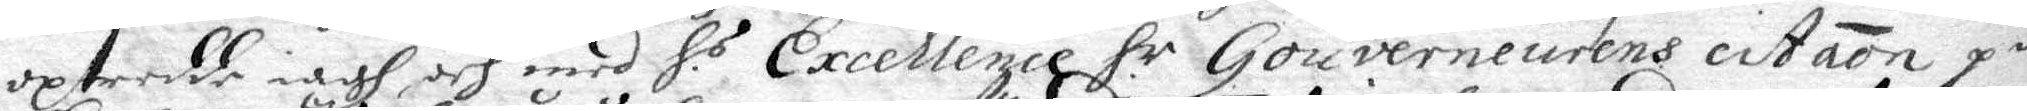uptredde iagh och med H.s Excellence H.r  Gouverneurens citation på
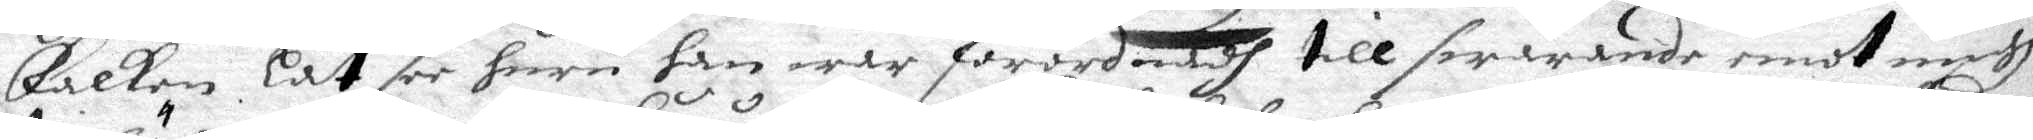Falken låt see huru han war förordnadh till swarande emot migh,
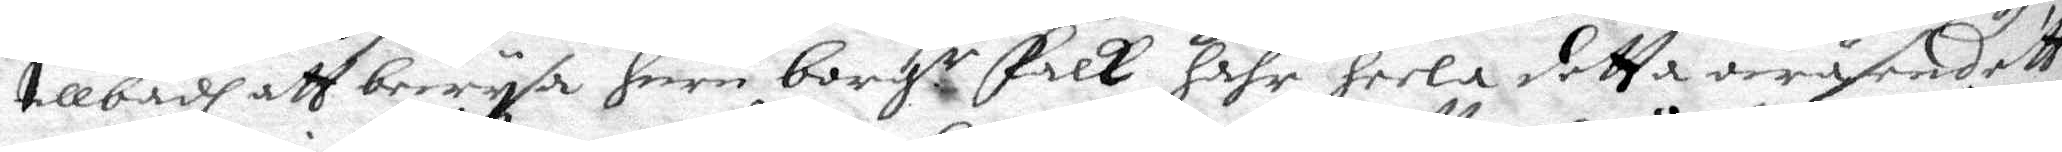tillbädh att bewysa huru borg.r Falk hahr heela detta wäsendett
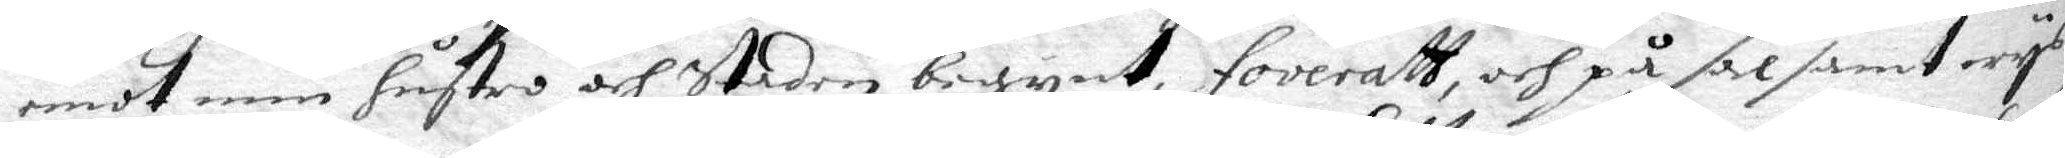emot min hustro och staden begynt, foveratt, och på salsamt wys
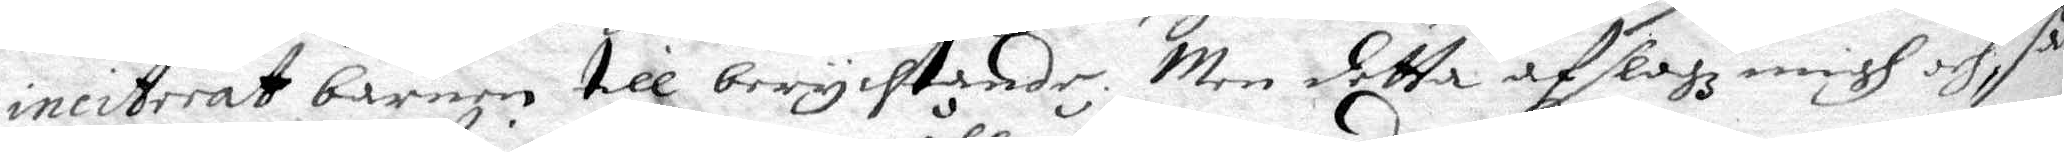ineiterat barnen till berychtande, Men detta afslogz migh och, så¬
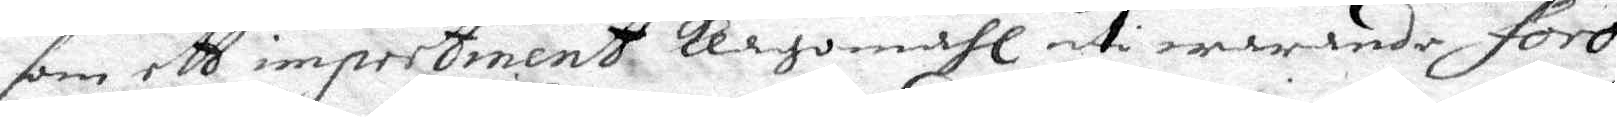som ett impertinent klagomåhl uti warande foro.
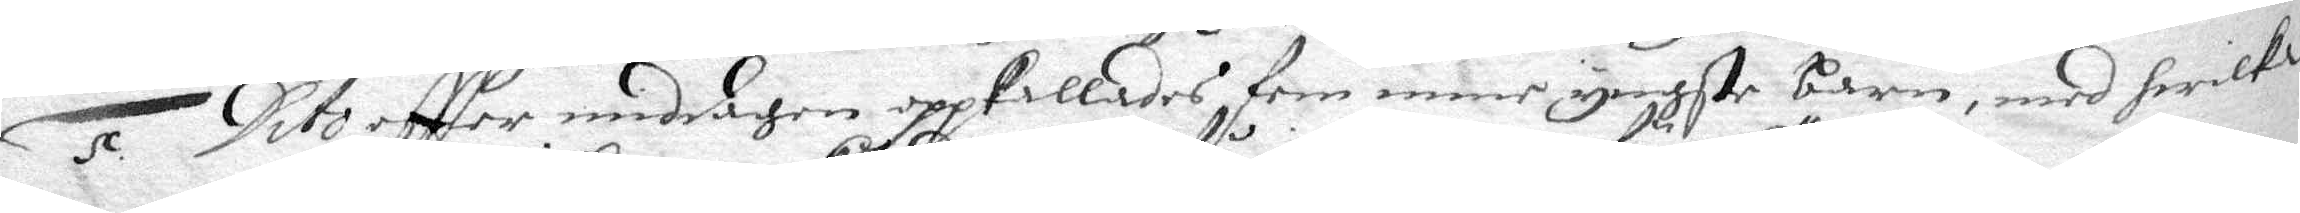5. Dito eftter middagen oppkallades fem mine yngste barn, med hwilka
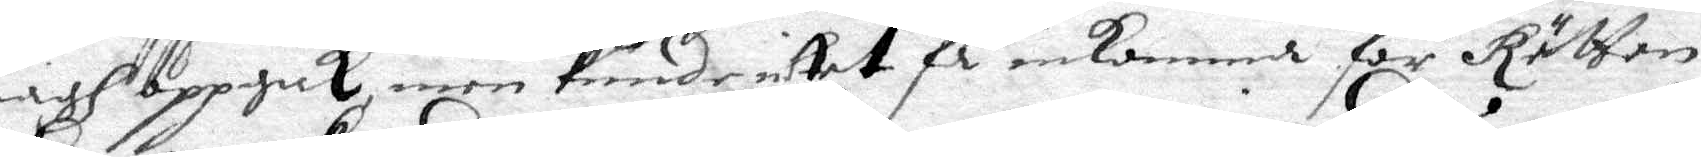iagh oppgick, men kunde intet fp inkomma för Rätten.
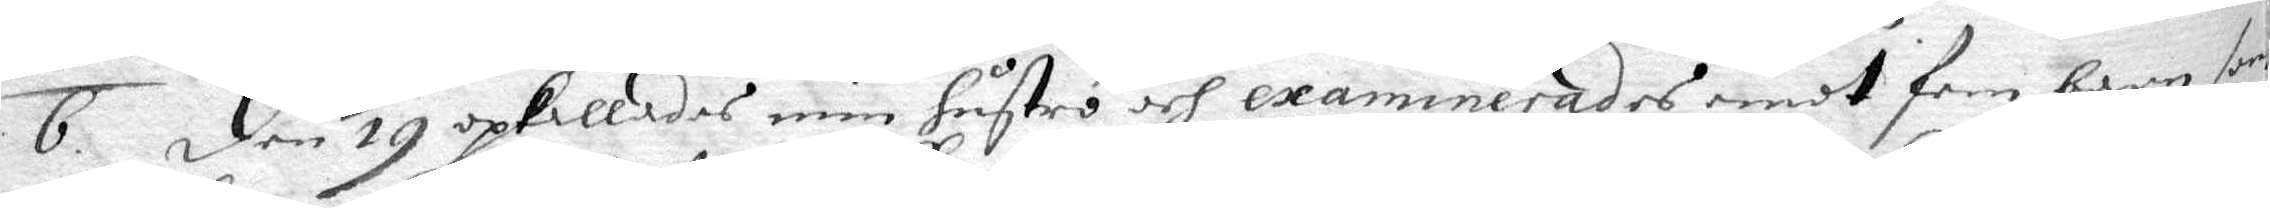6. Den 19 opkallades min hustro och examinerades emot fem barn som
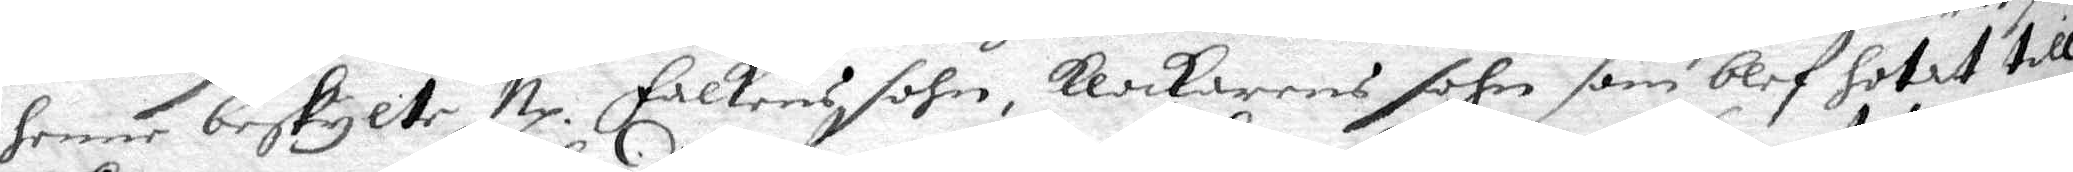henne beskylte Np. Falkens sohn, Klockarens sohn som blef hotat till
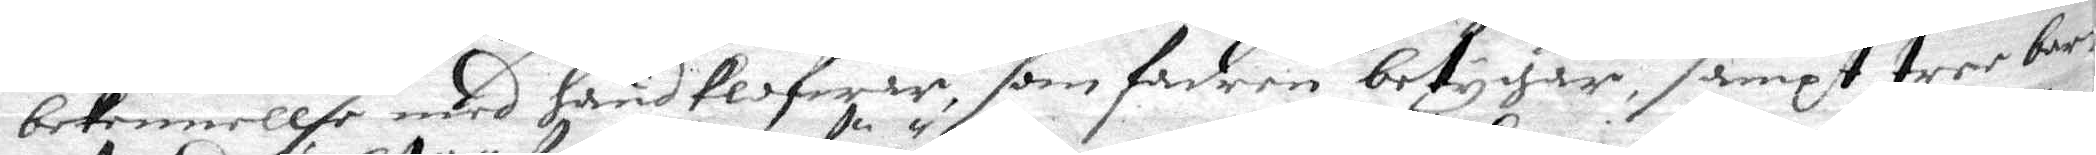bekennellse med hand klofwar, som fadren betygar, sampt tree barn
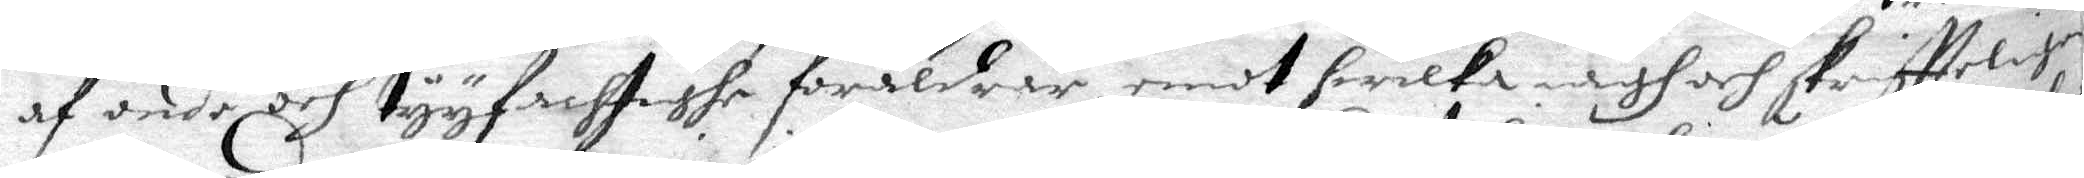af ondo bef tyyfachtighe föräldrar emot hwilka iagh och skriftteligen
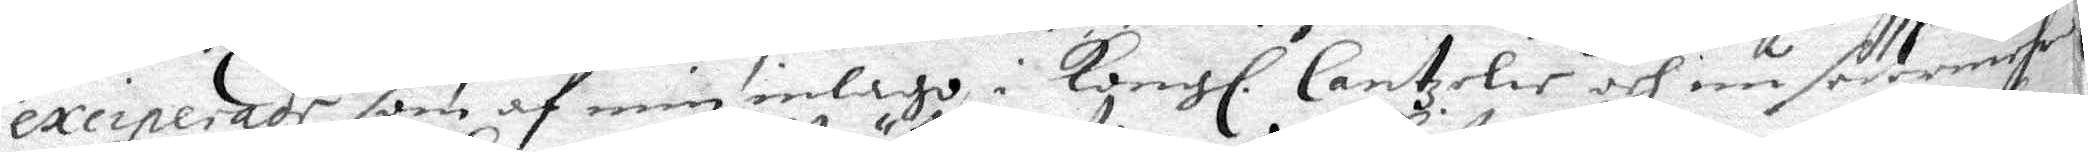exciperade som af min inlago i Kongl. Cantzelir och nu sedermerhe
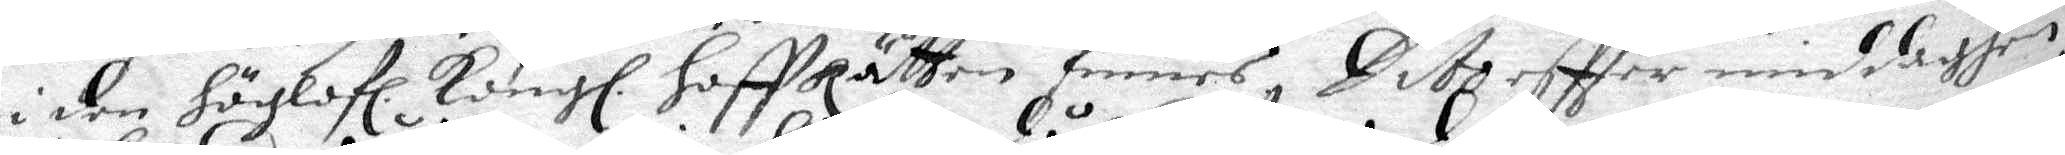i den höglofl. Kongl. Hoffrätten finnes, Dito eftter middagen
